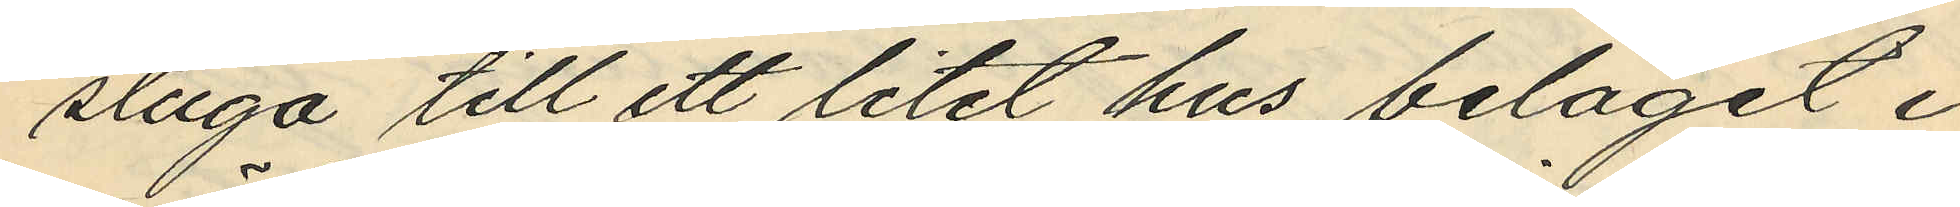stuga till ett litet hus beläget i
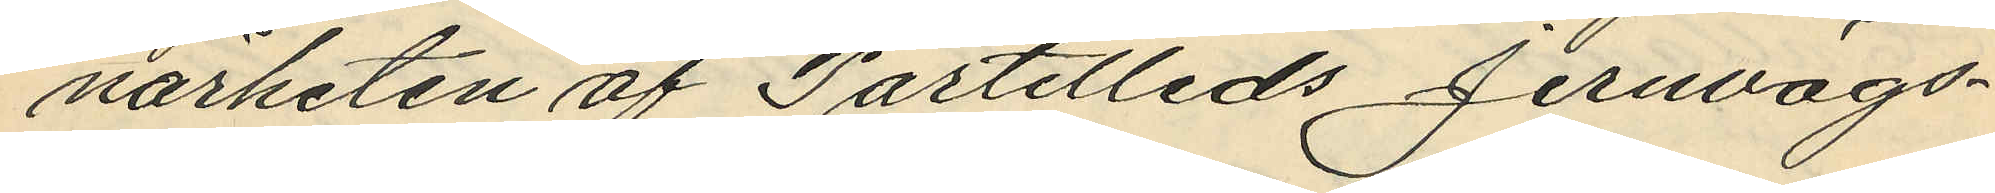närheten af Partilleds Jernvägs¬
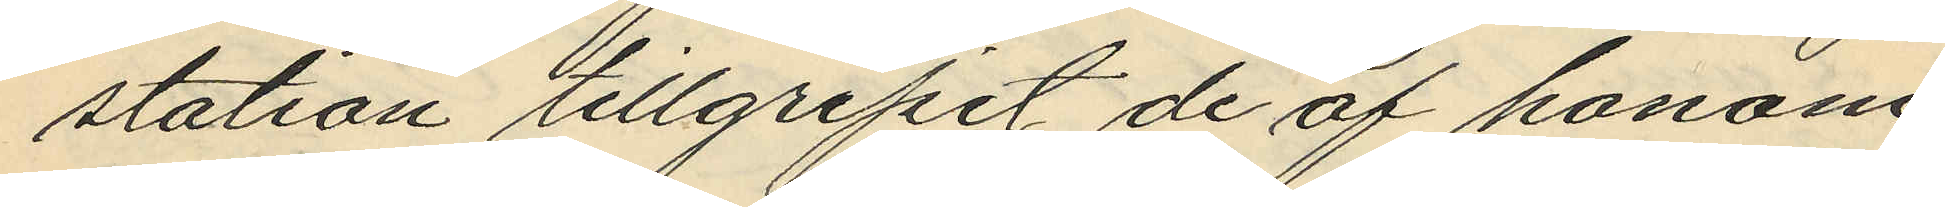station tillgripit de af honom
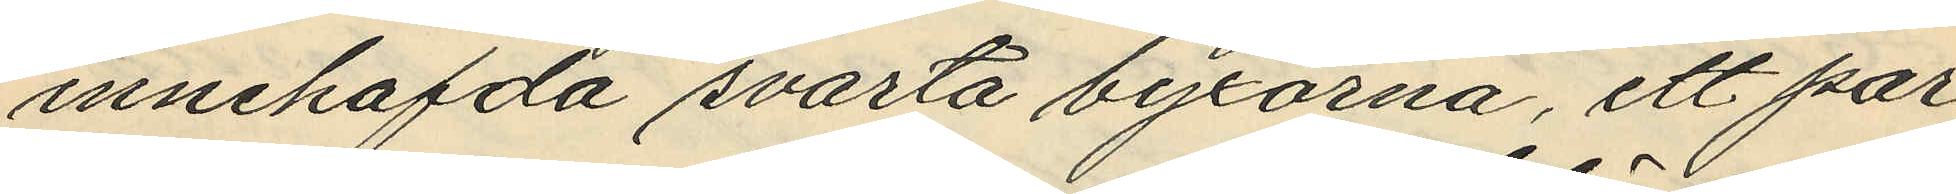innehafda svarta byxorna, ett par
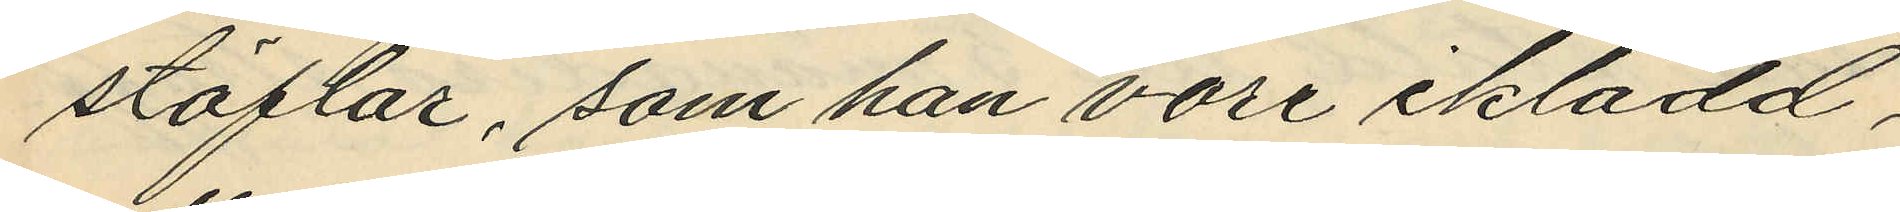stöflar, som han vore iklädd,
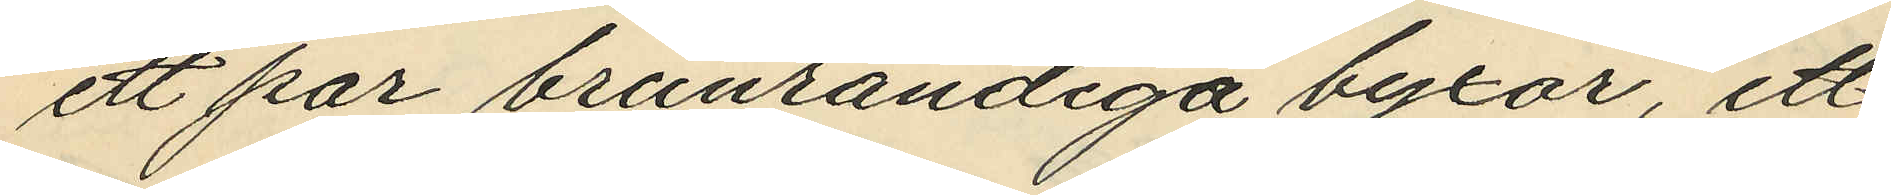ett par brunrandiga byxor, ett
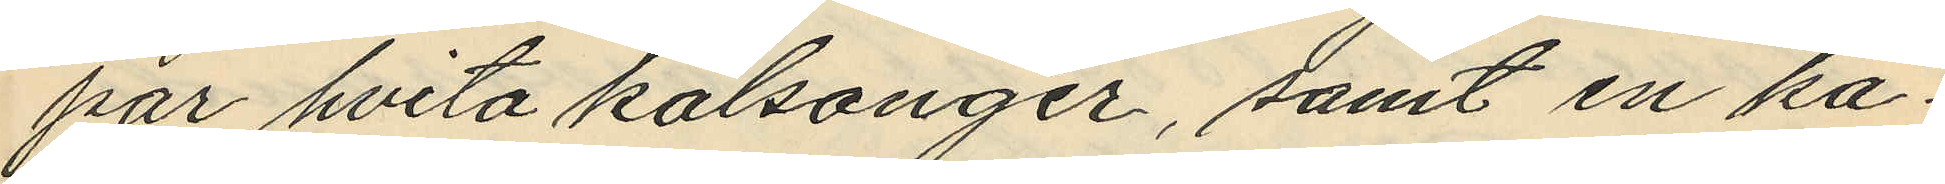par hvita kalsonger, samt en ka¬
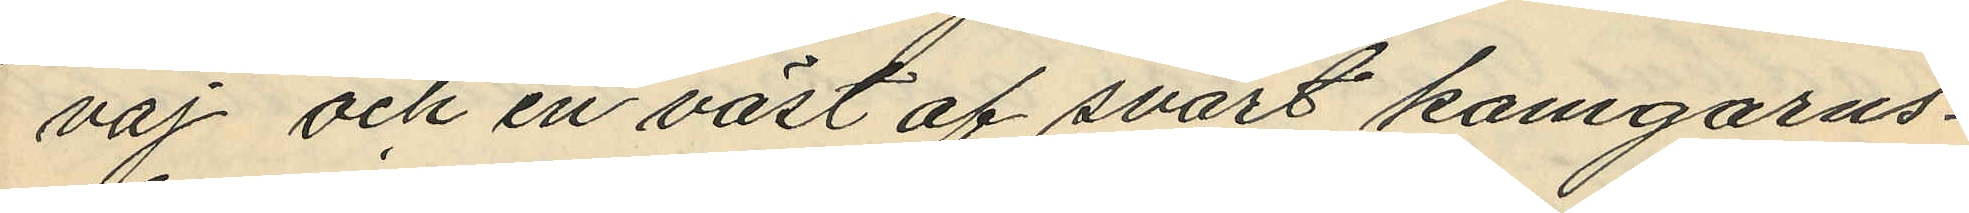vaj och en väst af svart kamgarns¬
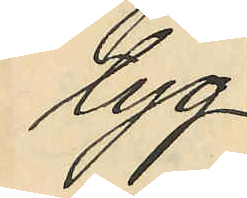tyg,
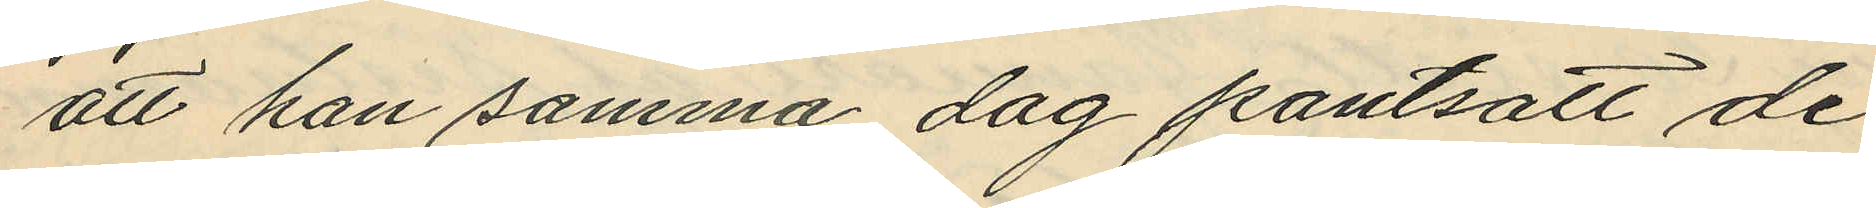att han samma dag pantsatt de
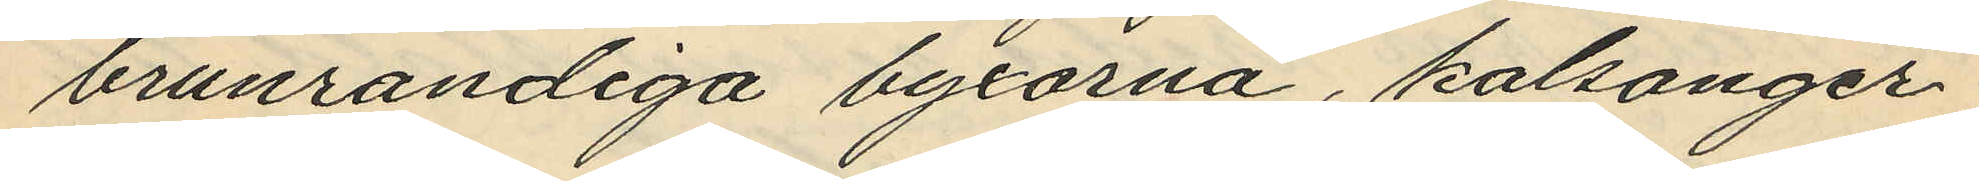brunrandiga byxorna, kalsonger¬
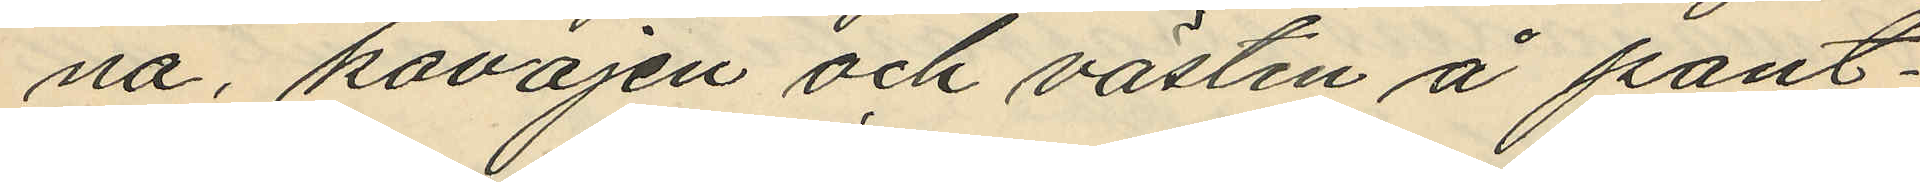na, kavajen och västen å pant¬
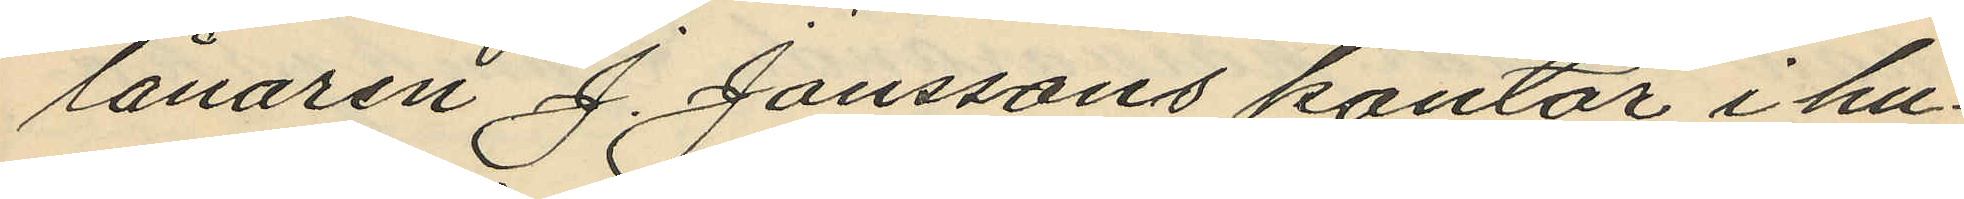lånaren J. Janssons kontor i hu¬
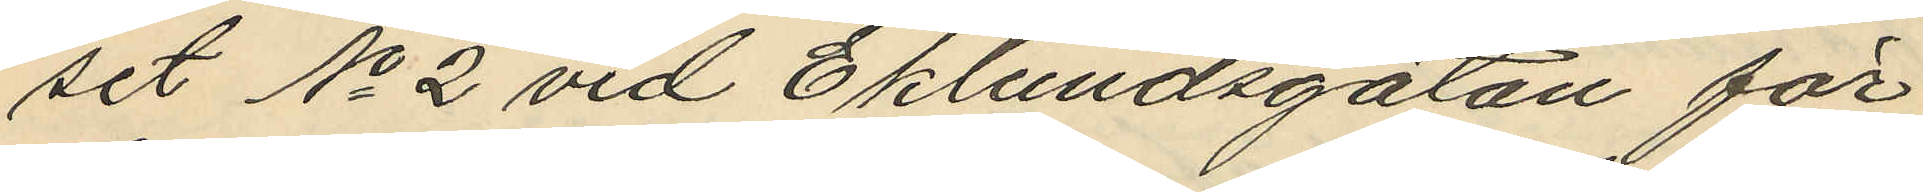set No 2 vid Eklundsgatan för
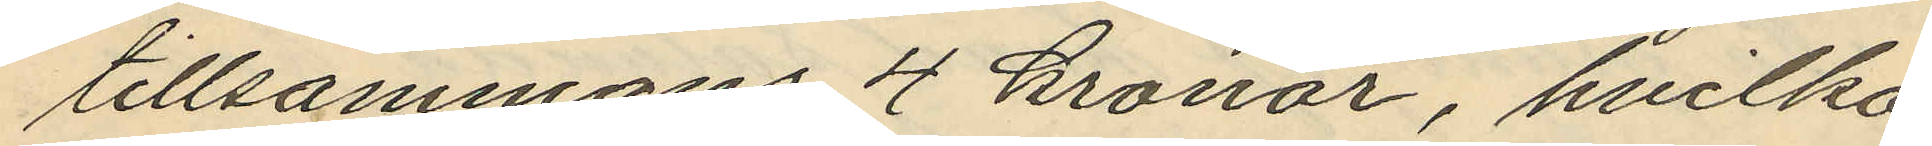tillsammans 4 kronor, hvilka
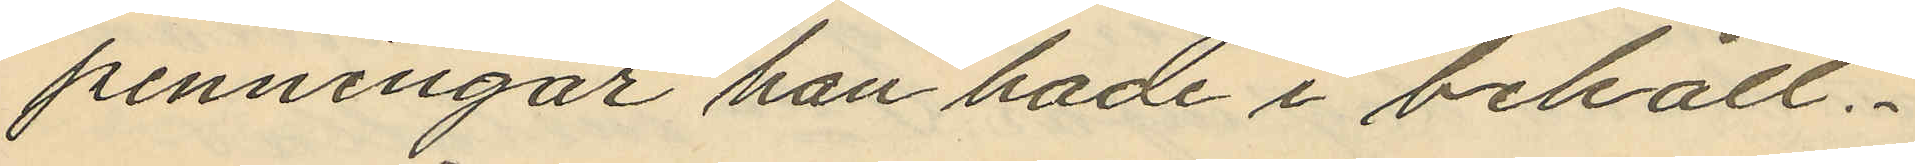penningar han hade i behåll.
